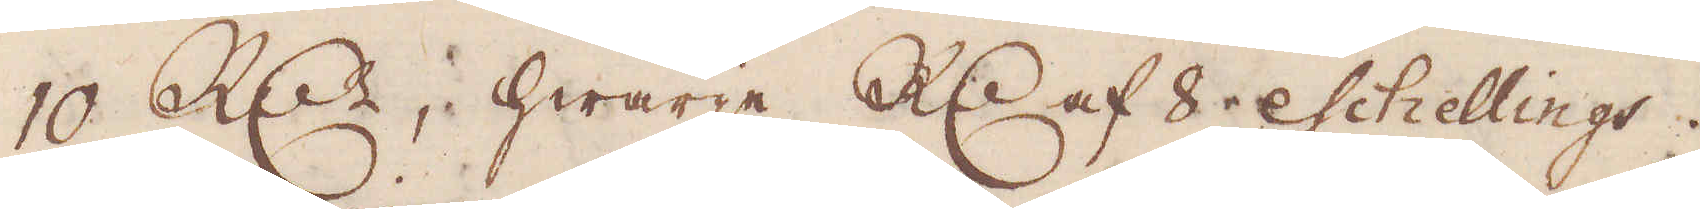10 R:dr, hwarje R:dr af 8 eschellings.
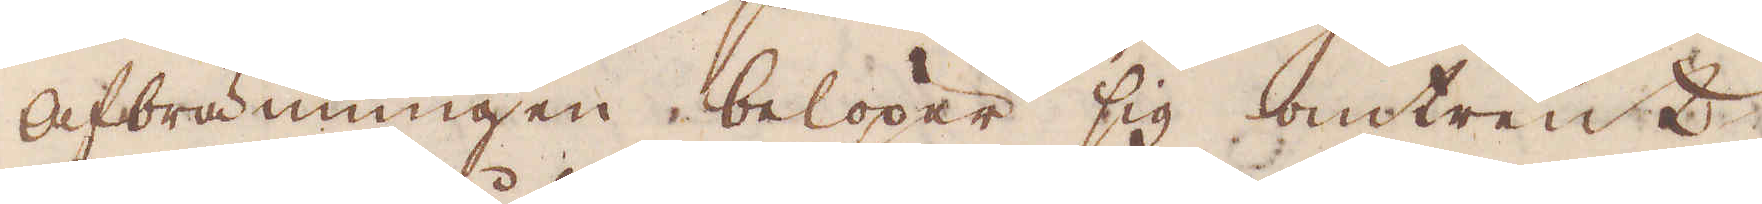Afbränningen belöper sig omtrent
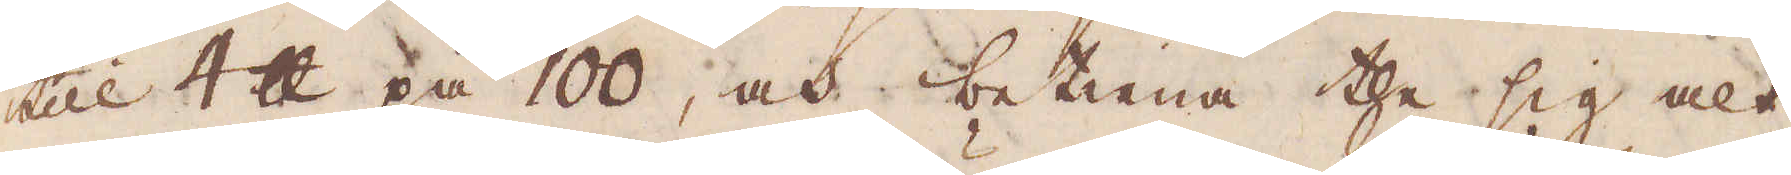till 4 skålpund på 100, och betiena the sig alt
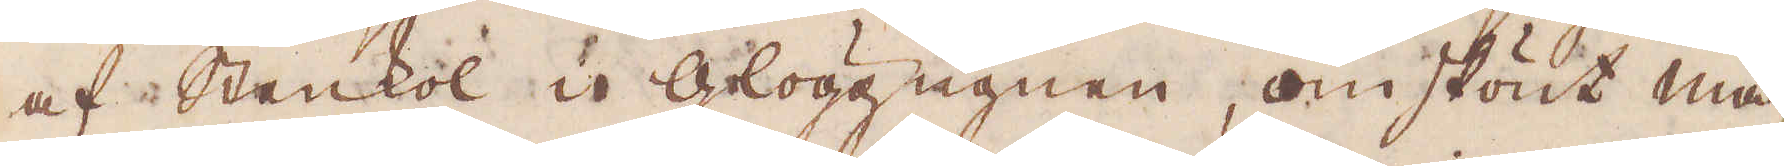af Stenkol i Glöggningen, omskönt mä-
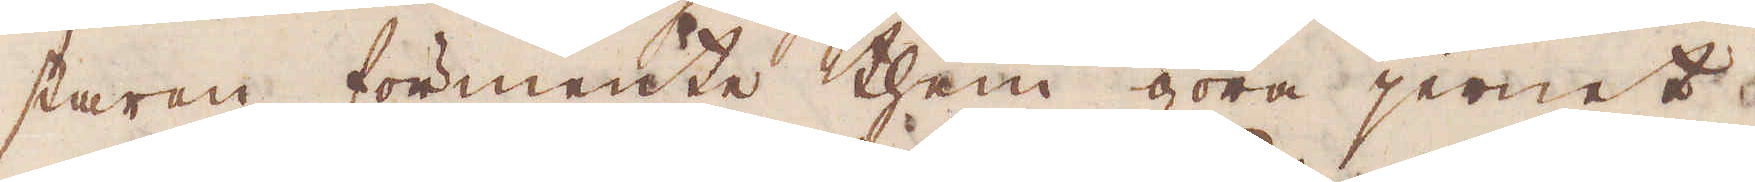staren förmente them göra jernet
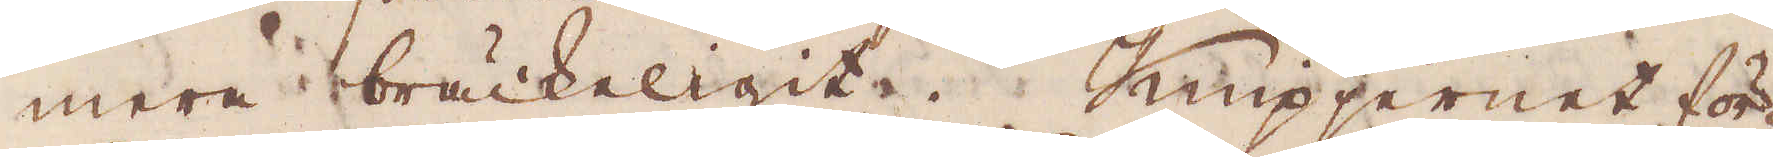mera brukeligit. Knipjernet för-
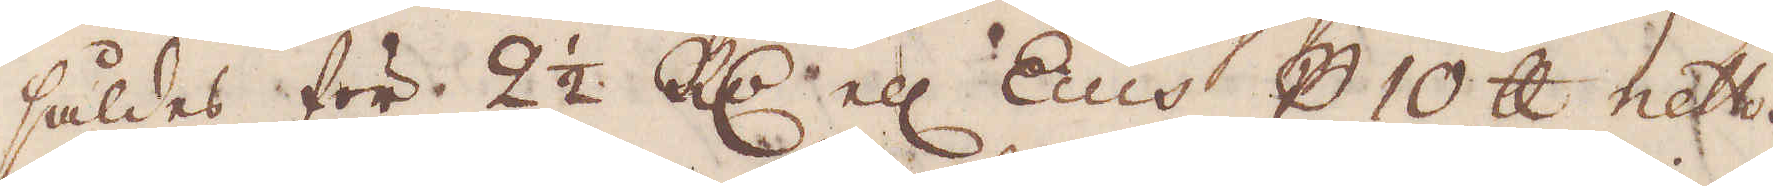såldes för 2 1/2 R:dr ell: Ecus p 10 skålpund netto.
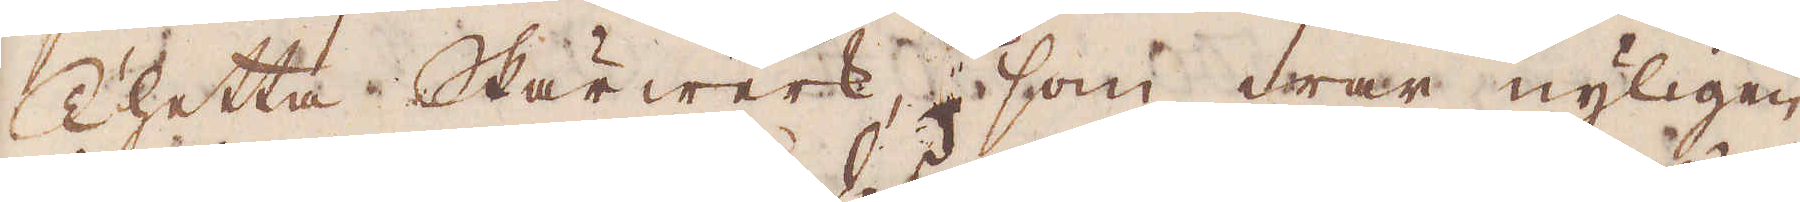Thetta Skärwerk, som war nyligen
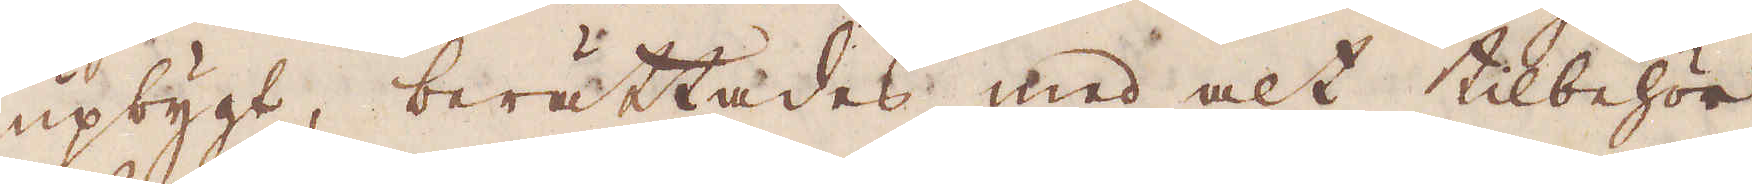upbygt, berättades med alt tilbehör
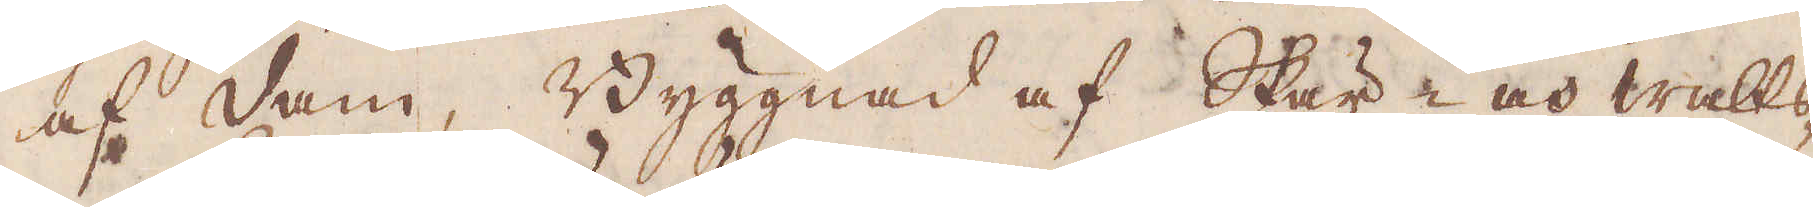af dam, Byggnad af Skär- och Walts-
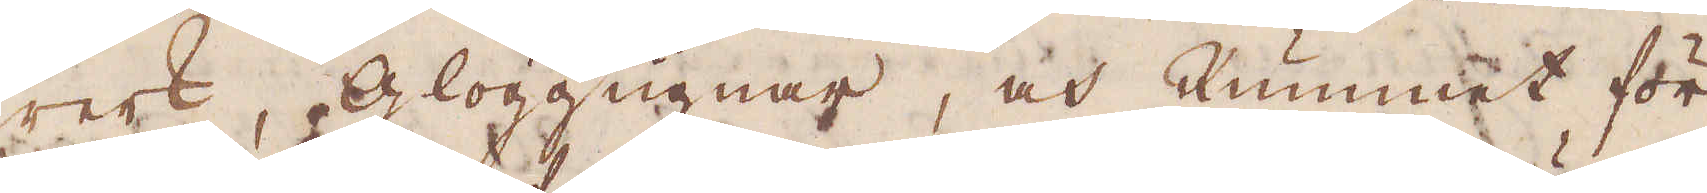werk, Glöggugnar, och Rummet för
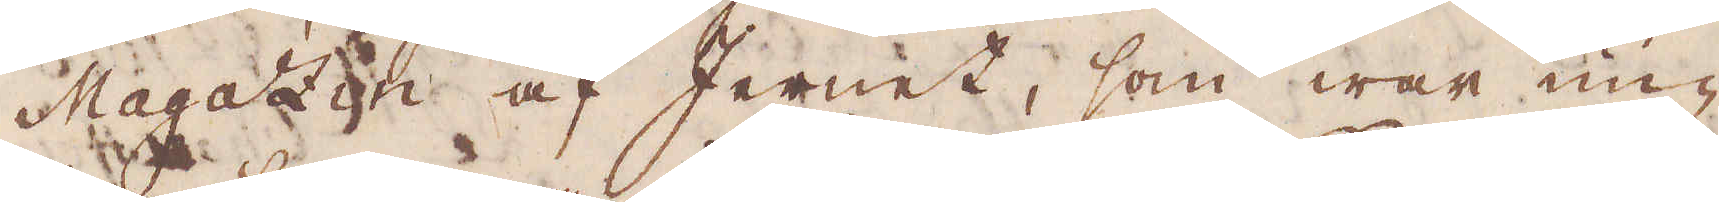Magazin af Jernet, som war un-
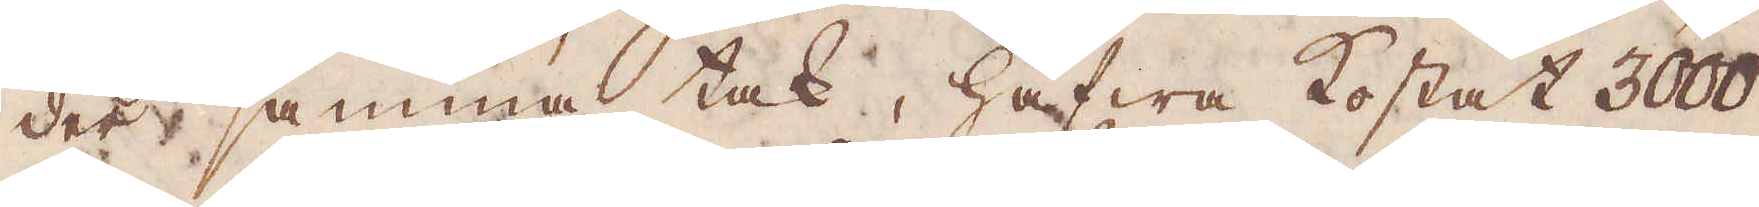der samma tak, hafwa kostat 3000
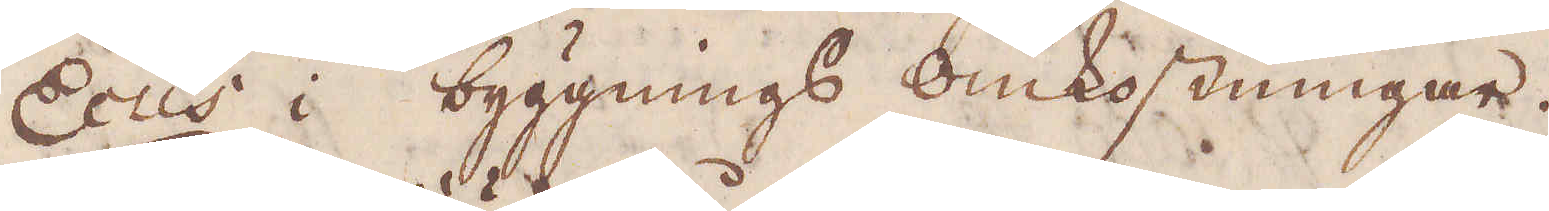Ecus i byggnings omkostningar.
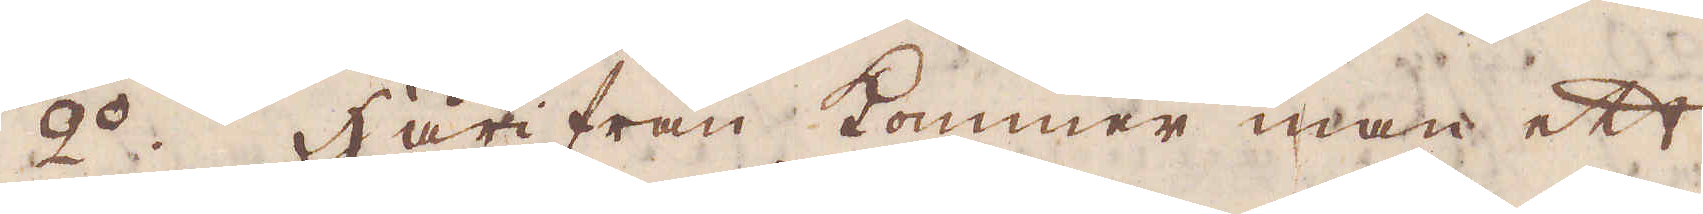2:o Härifrån kommer man ett 
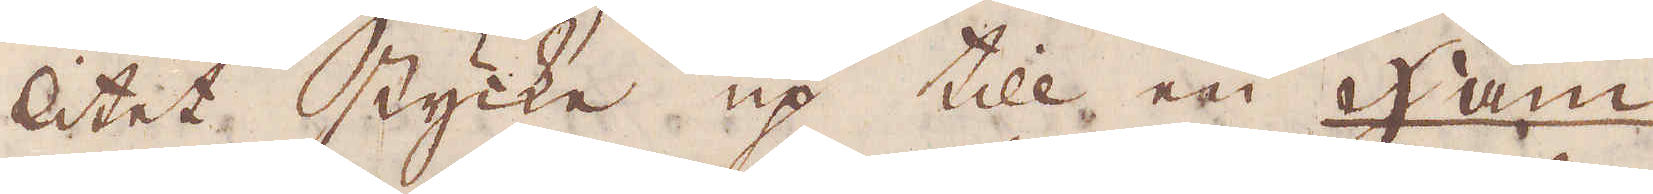litet stycke up till en Ham-
